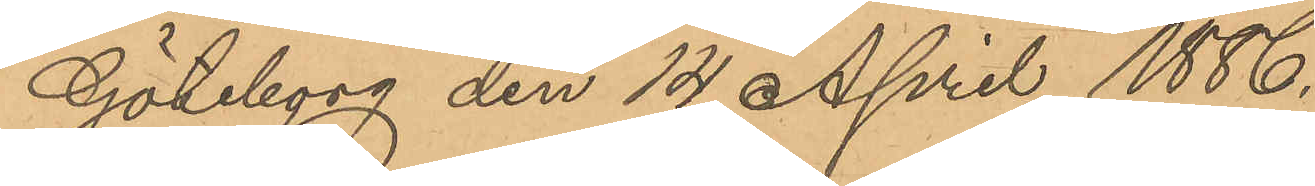Göteborg den 14 April 1886.
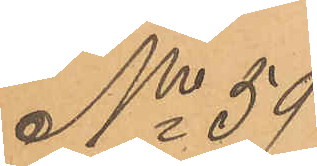No 59
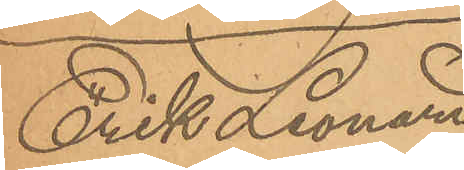Erik Leornard
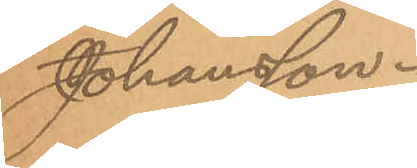Johansson.
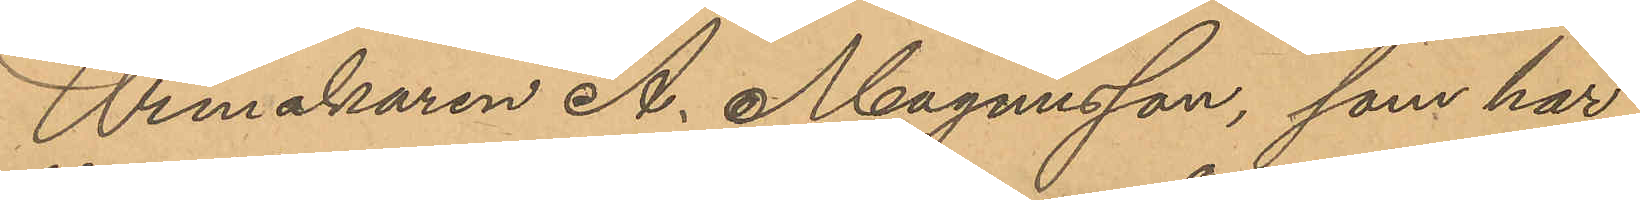Urmakaren A. Magnusson, som har
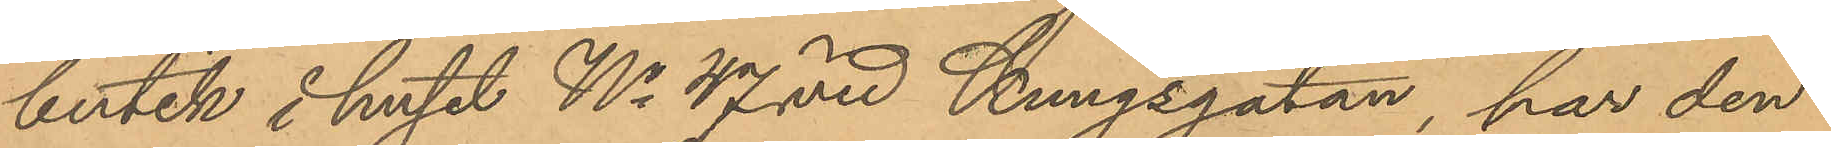butik i huset No 47 vid Kungsgatan, har den
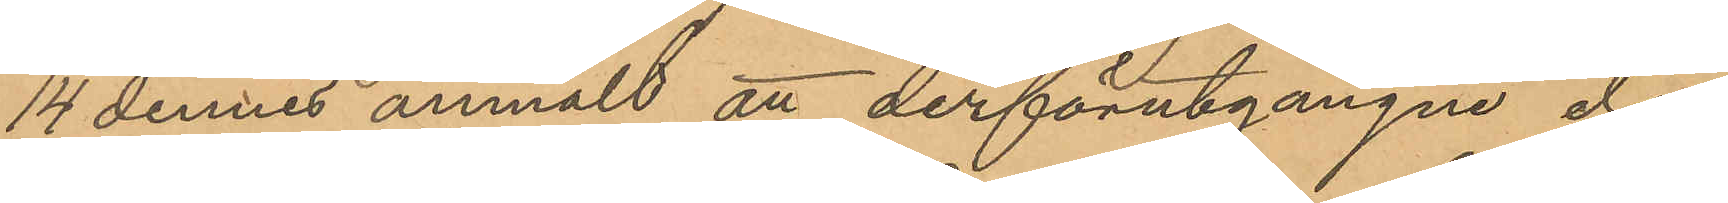14 dennes anmält att derförutgångne dag
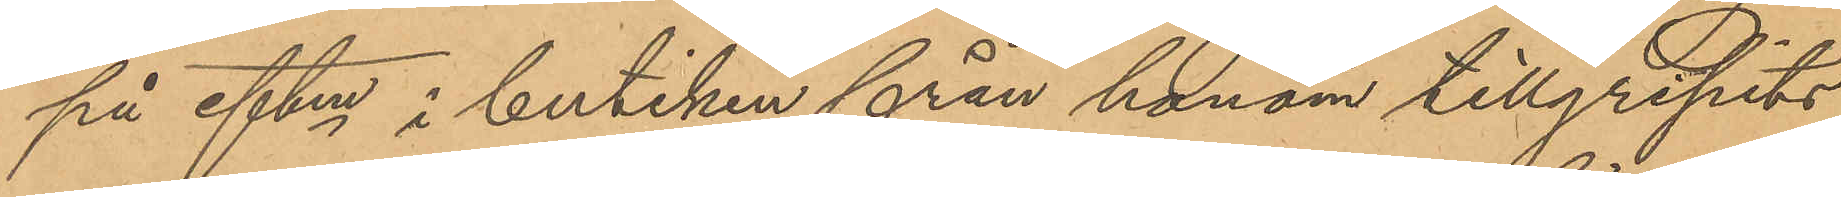på eftm i butiken från honom tillgripits
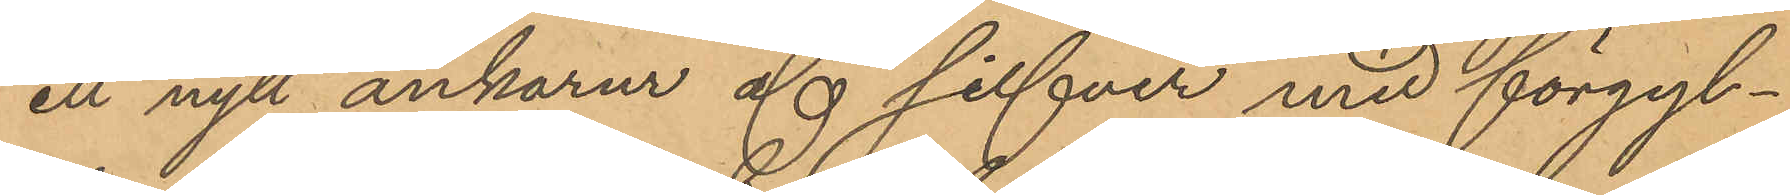ett nytt ankarur af silfver med förgyl¬
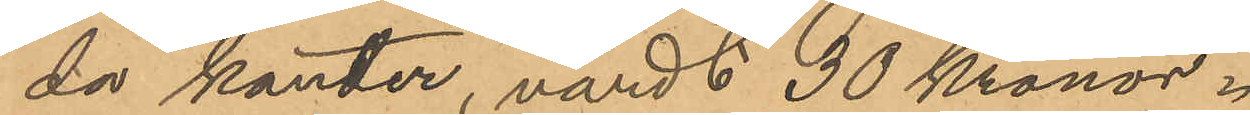da kanter, värdt 30 Kronor.
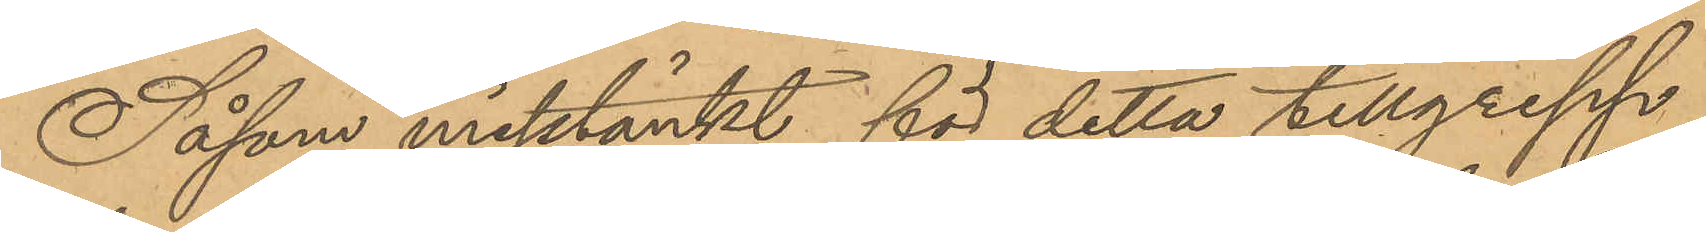Såsom misstänkt för detta tillgrepp
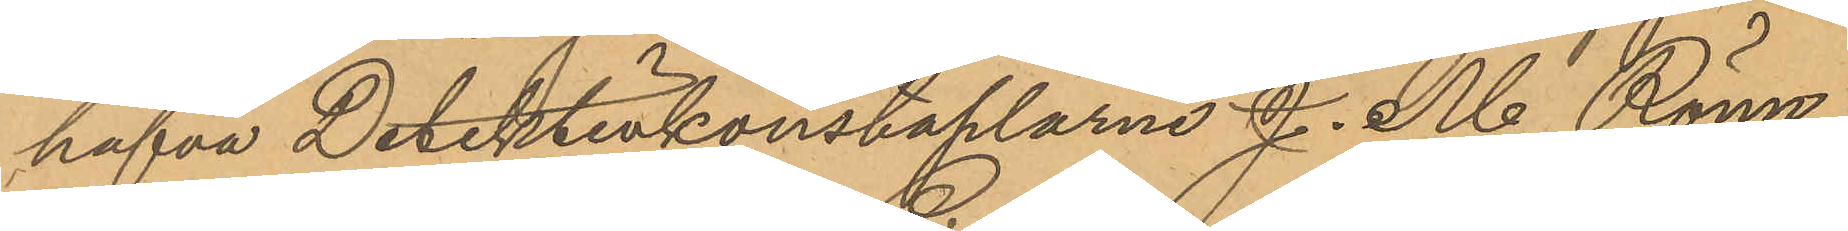hafva Detektivkonstaplarne J. M. Rönn¬
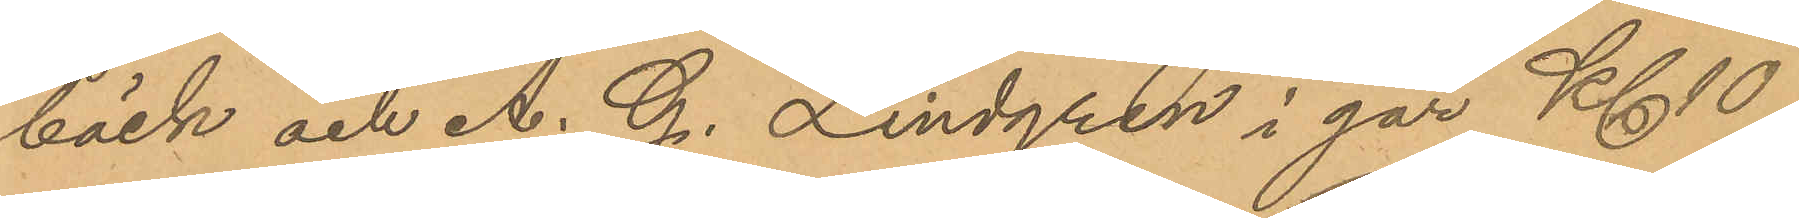bäck och A. G. Lindgren i går Kl 10
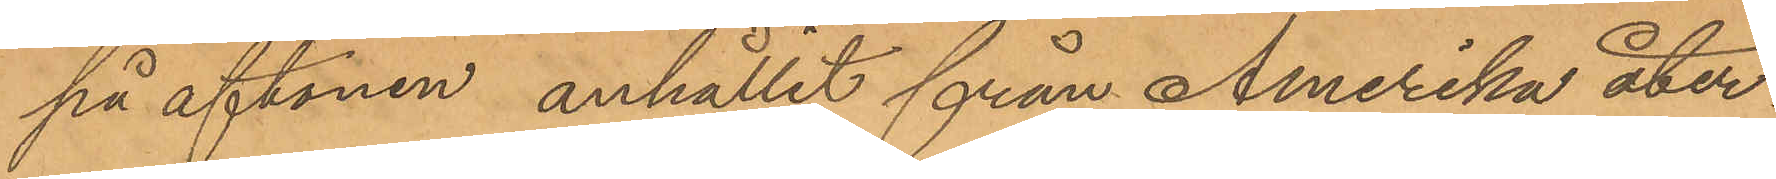på aftonen anhållit från Amerika åter¬
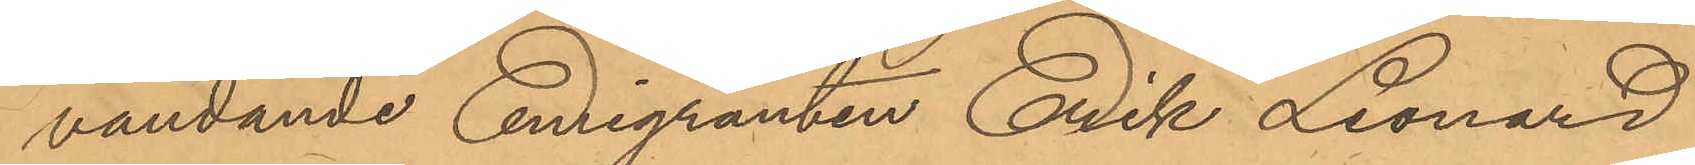vändande Emigranten Erik Leonard
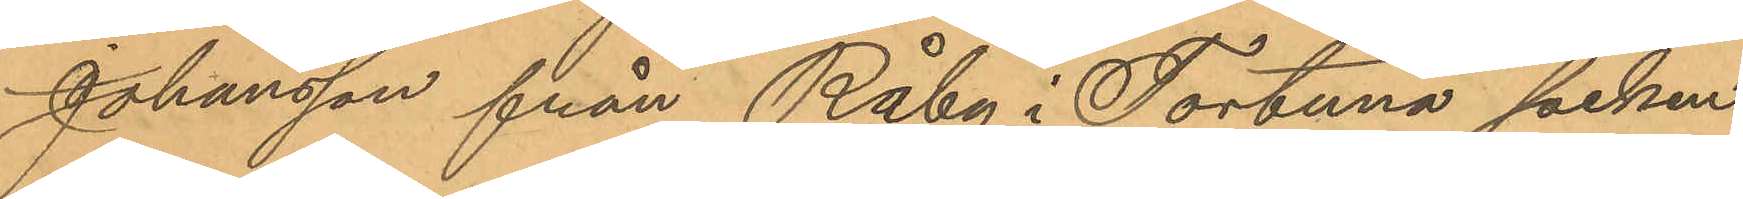Johansson från Råby i Tortuna socken
